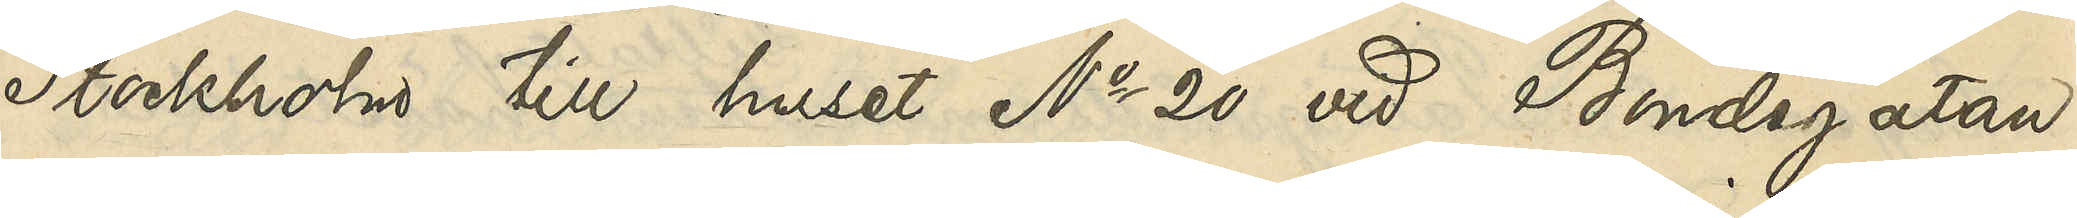Stockholm till huset No 20 vid Bondegatan.
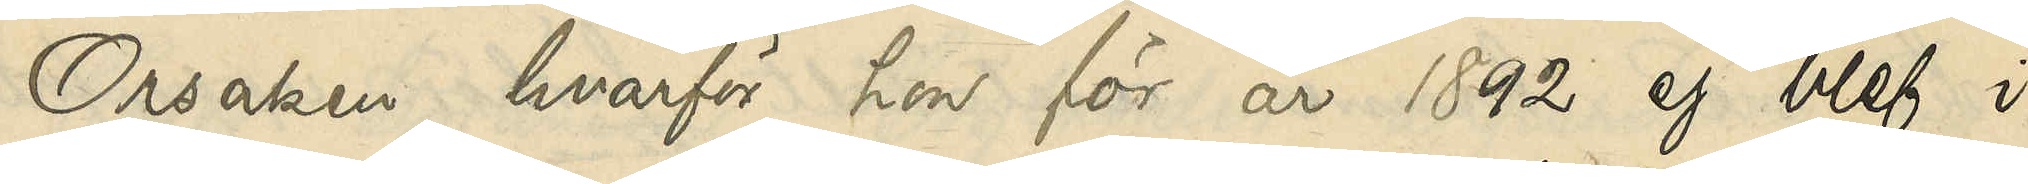Orsaken hvarför hon för år 1892 ej blef i
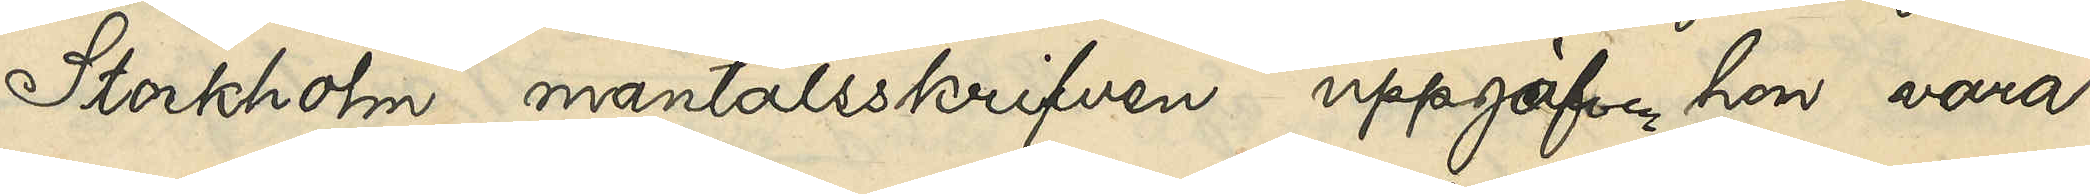Stockholm mantalsskrifven uppgaf hon vara
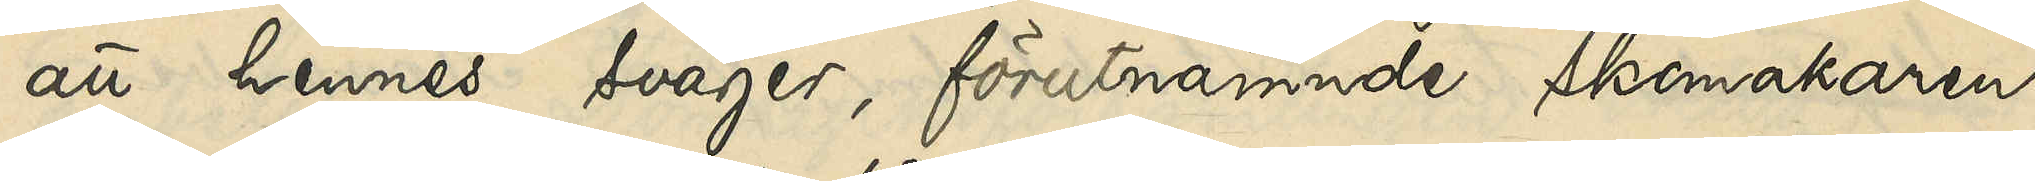att hennes svåger, förutnämnde skomakaren
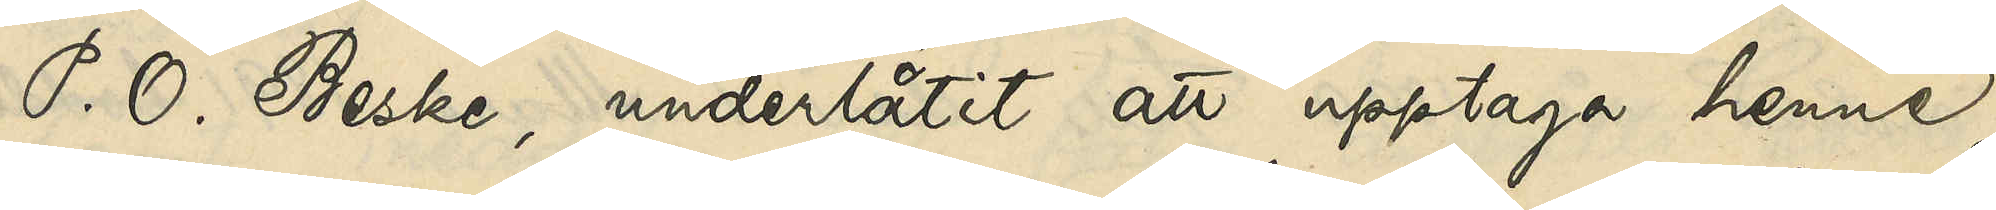P. O. Beske, underlåtit att upptaga henne
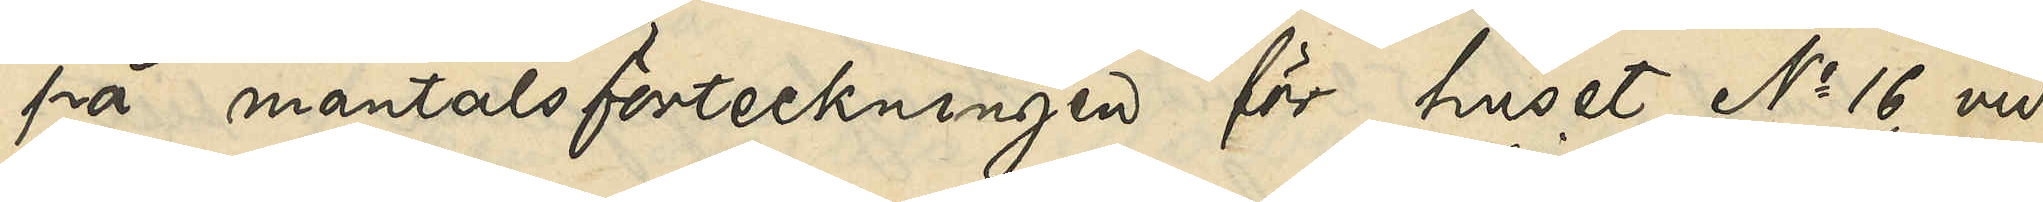på mantalsförteckningen för huset No 16 vid
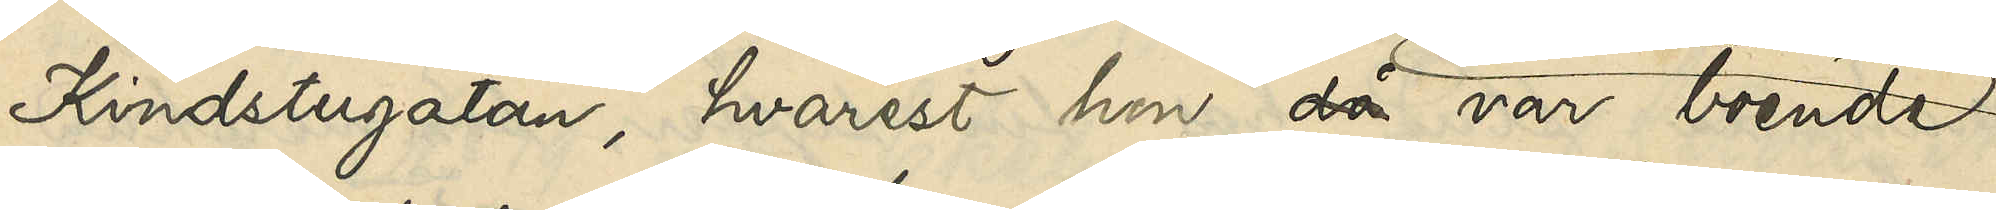Kindstugatan, hvarest hon då var boende
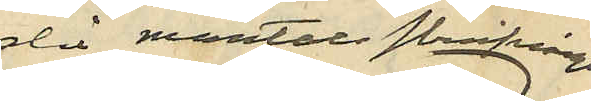då mantalsskrifvningen ägde rum
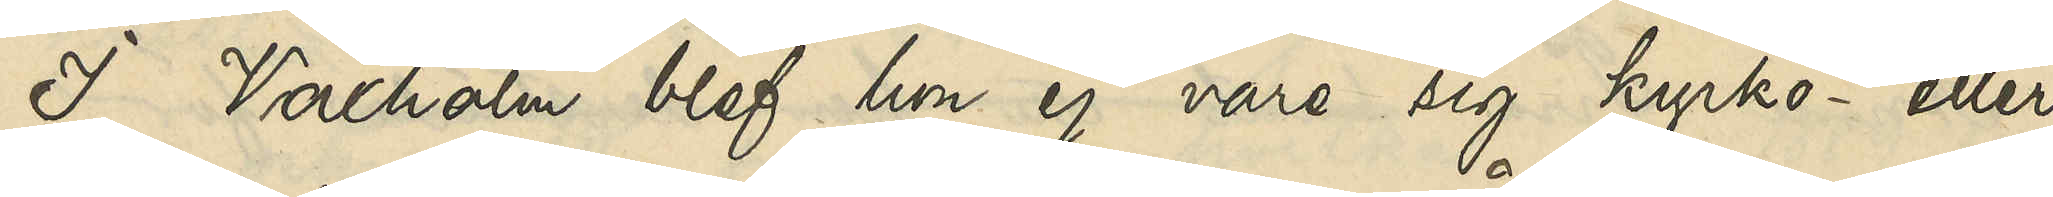I Vaxholm blef hon ej vare sig kyrko- eller 
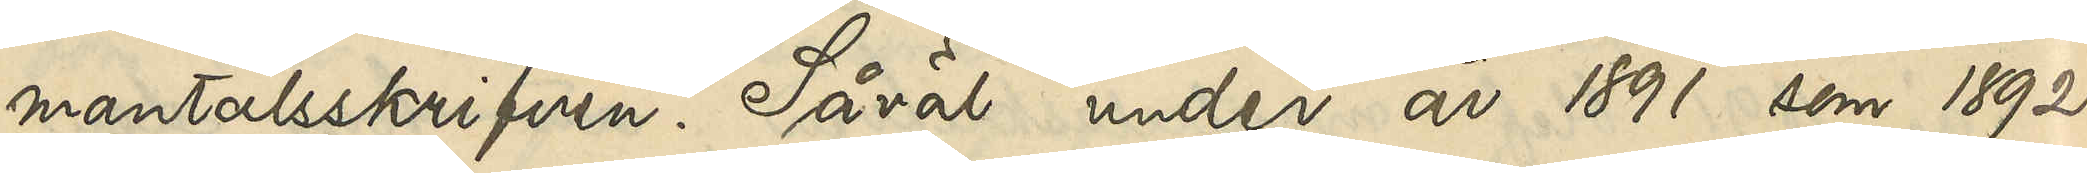mantalsskrifven. Såväl under år 1891 som 1892
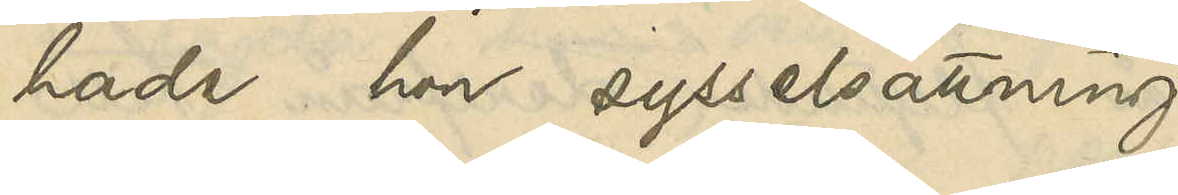hade hon sysselsättning
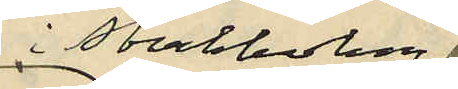i Stockholm
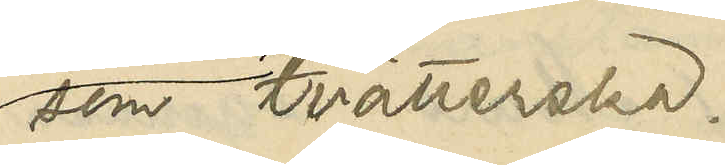som tvätterska.
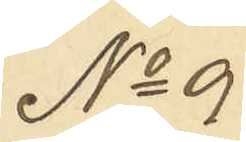No 9
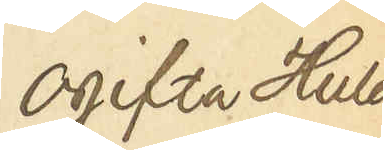Ogifta Hulda
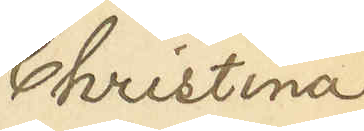Christina
